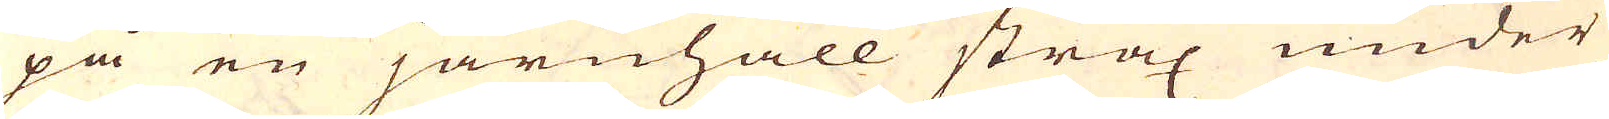på en järnhäll strax under
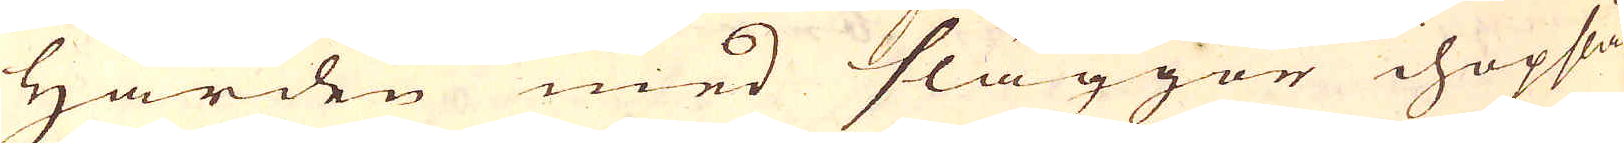Härden med släggor hopslås
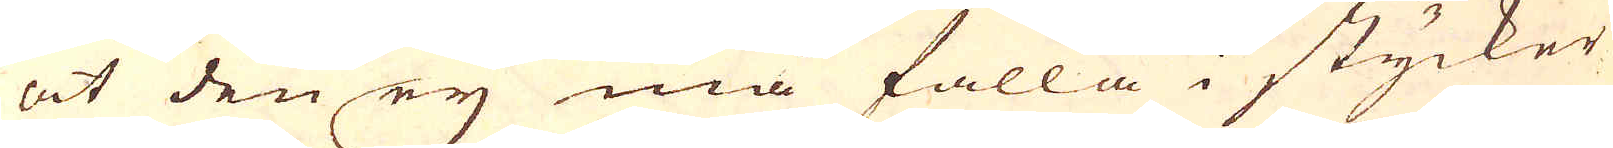at den ey må falla i stycker
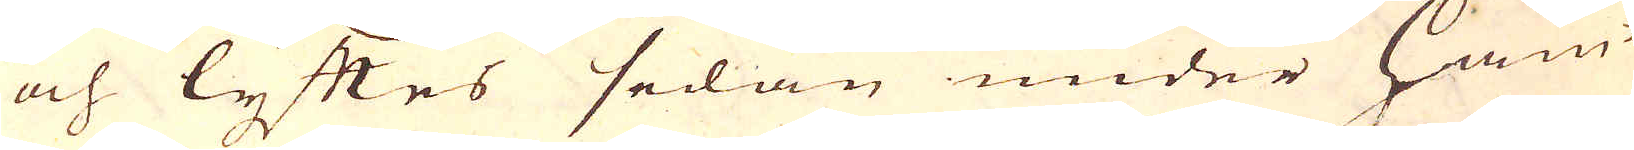och lyftes sedan under Ham-
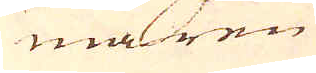maren
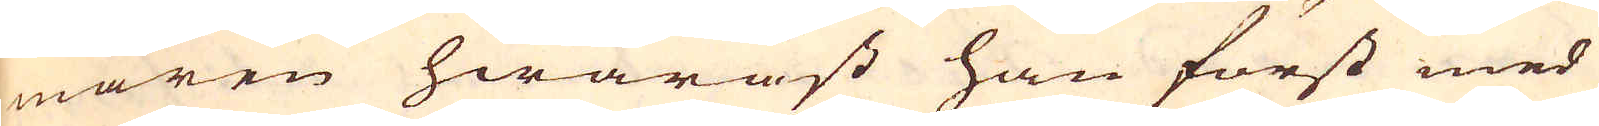maren hwaräst han först med
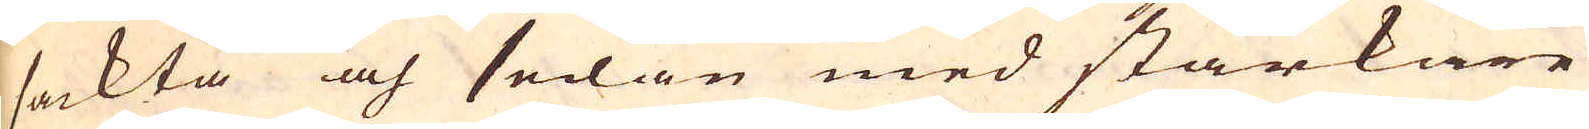sackta och sedan med starkare
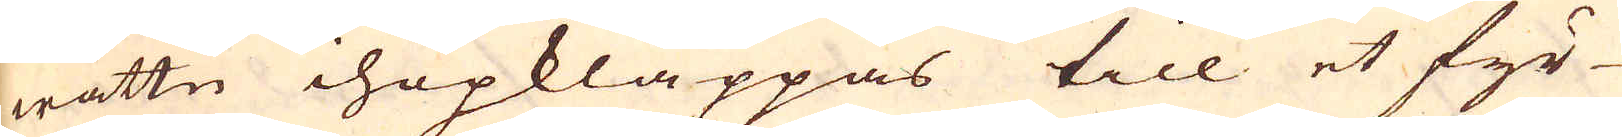wattn ihopklappas till et fyr-
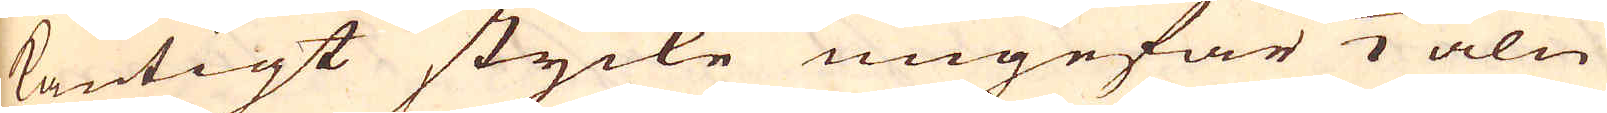kantigt stycke ungefär 1/2 aln
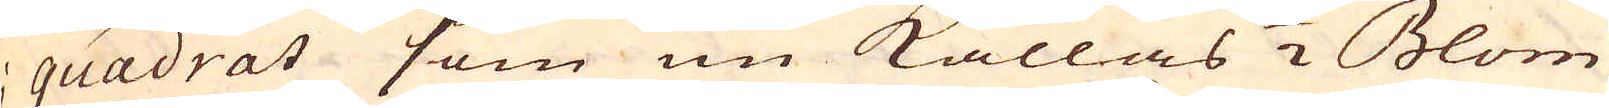i quadrat som nu kallas 1/2 Blom
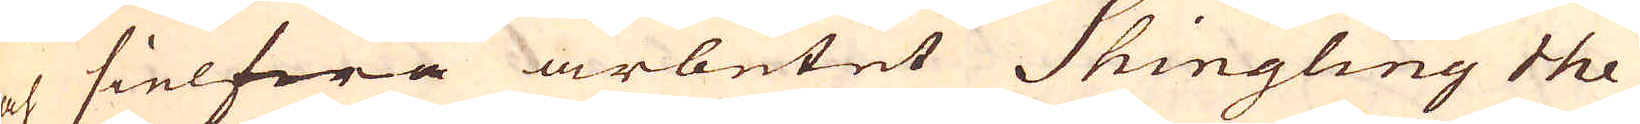och sielfwa arbetet Shingling the
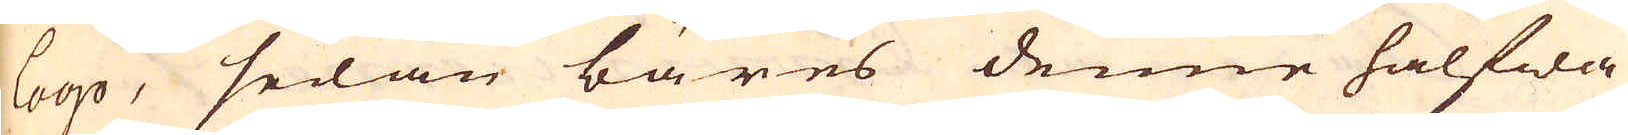loop, sedan bäres denne halfwa
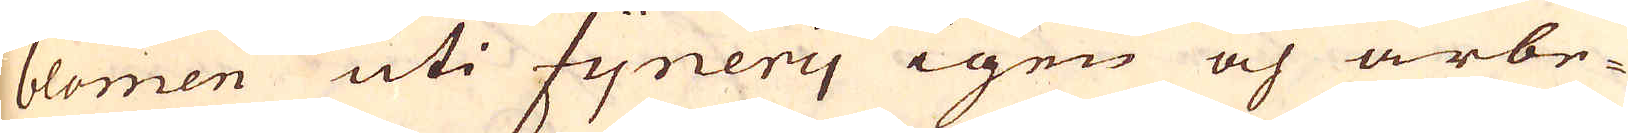blomen uti fynery igen och arbe-
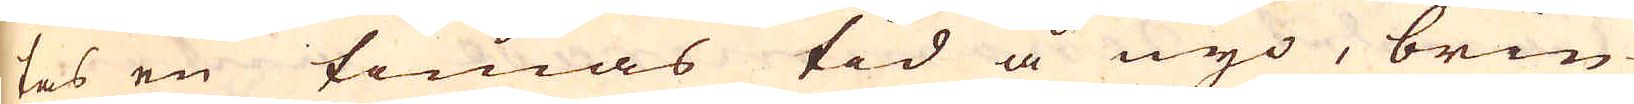tas en timas tid å nyo, brin-
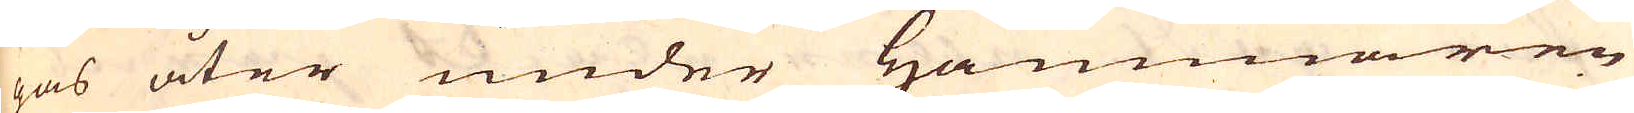gas åter under hammaren
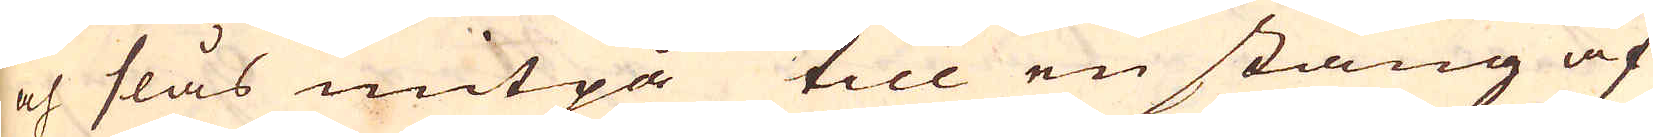och slås mitpå till en stång af
